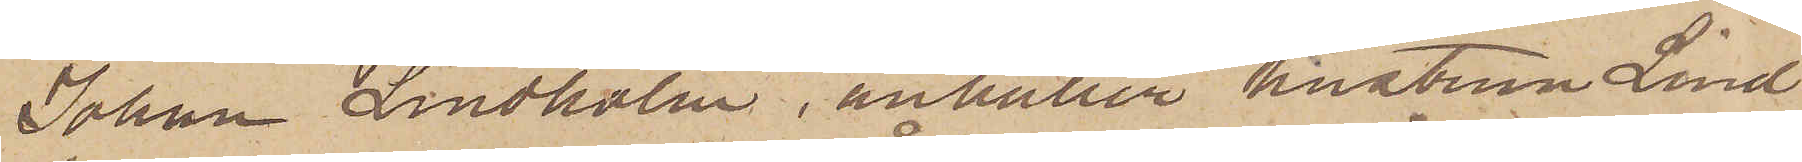Johan Lindholm, anhåller hustrun Lind
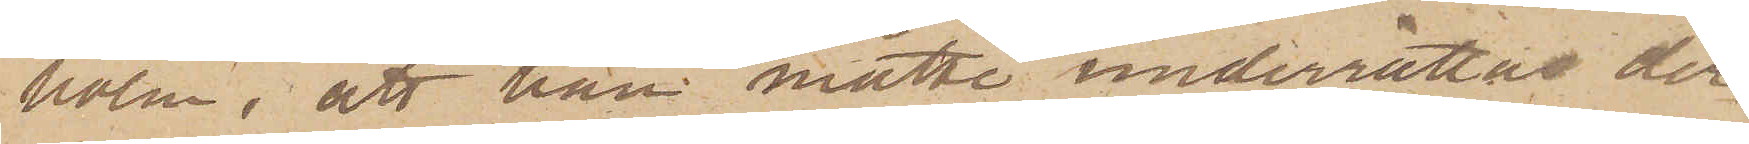holm, att han måtte underrättas der
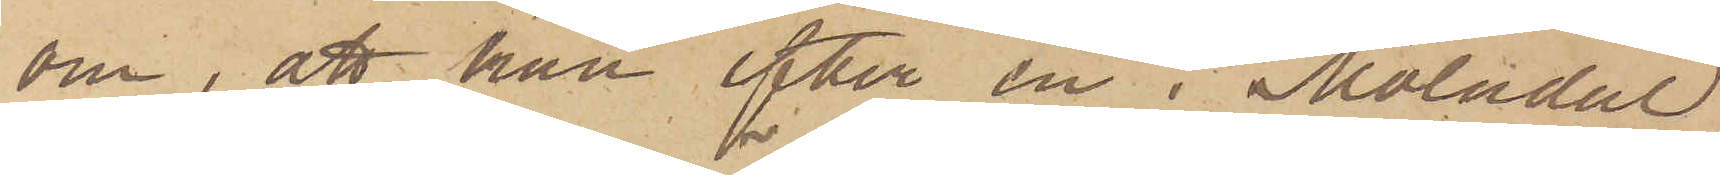om, att han efter en i Mölndal
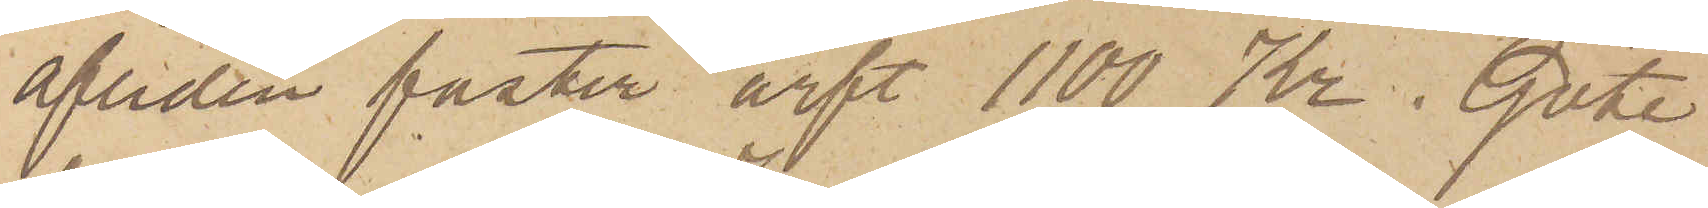afliden faster ärft 1100 Kr. Göte-
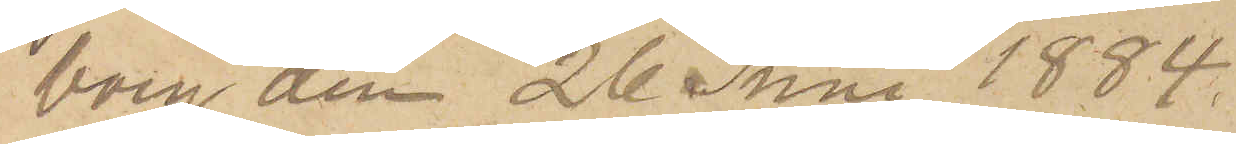borg den 26 Juni 1884.
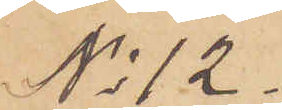No 12.
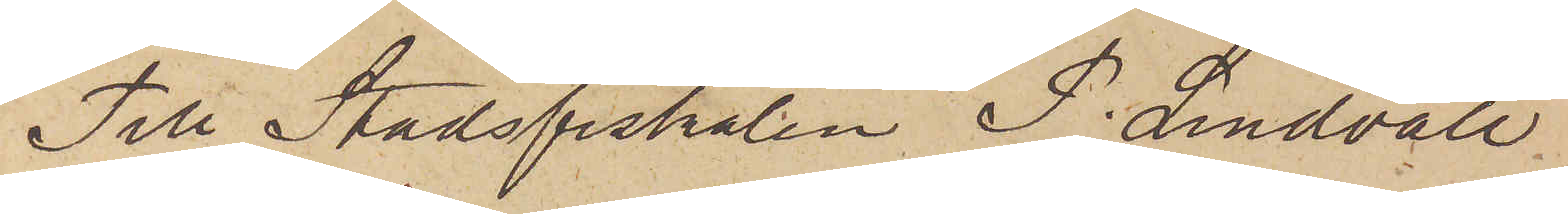Till Stadsfiskalen P. Lindvall,
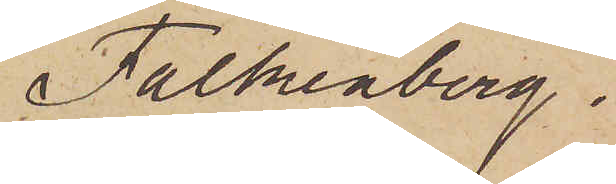Falkenberg.
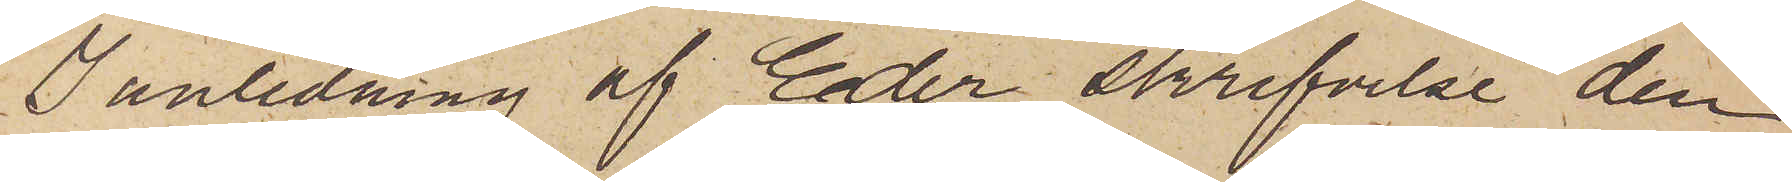I anledning af Eder skrifvelse den
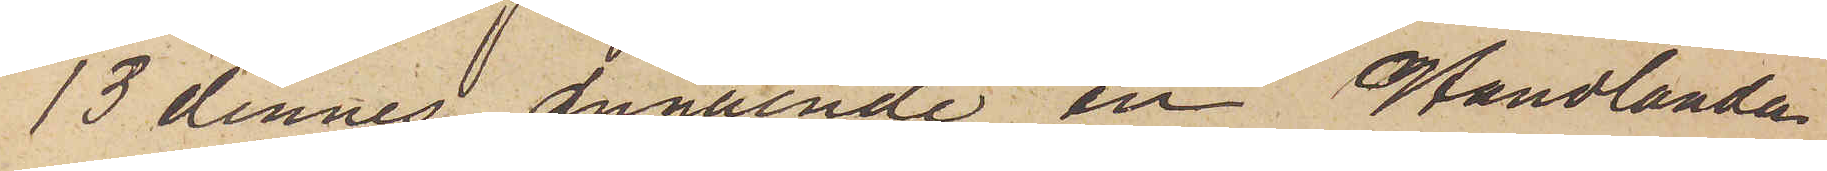13 dennes angående en Handlande
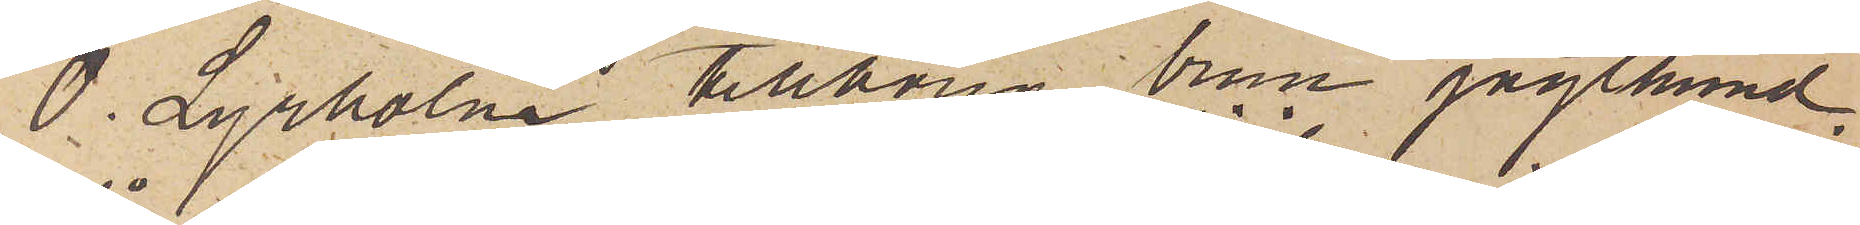O. Lyrholm tillhörig brun jagthund,
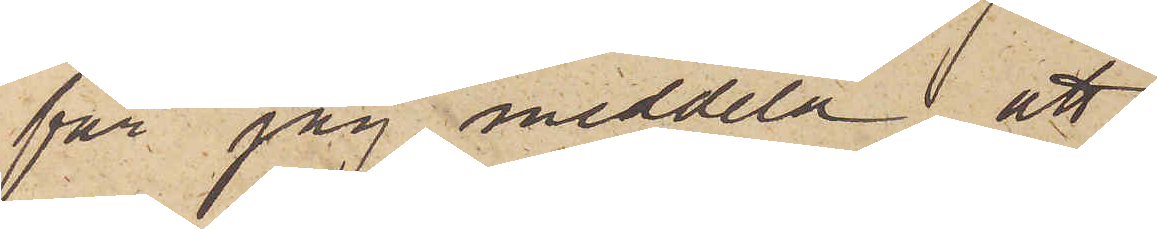får jag meddela, att
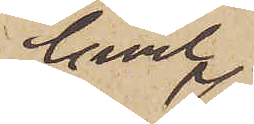Civil¬
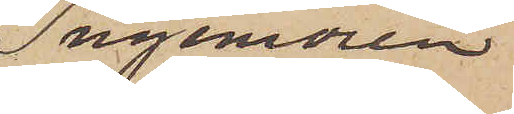ingeniören
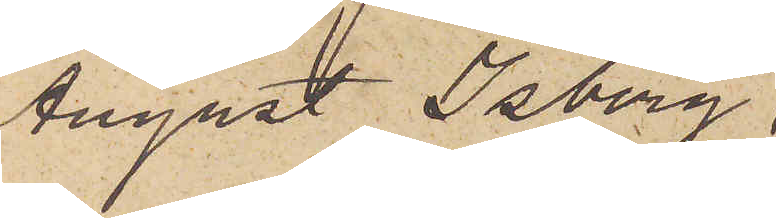August Isberg,
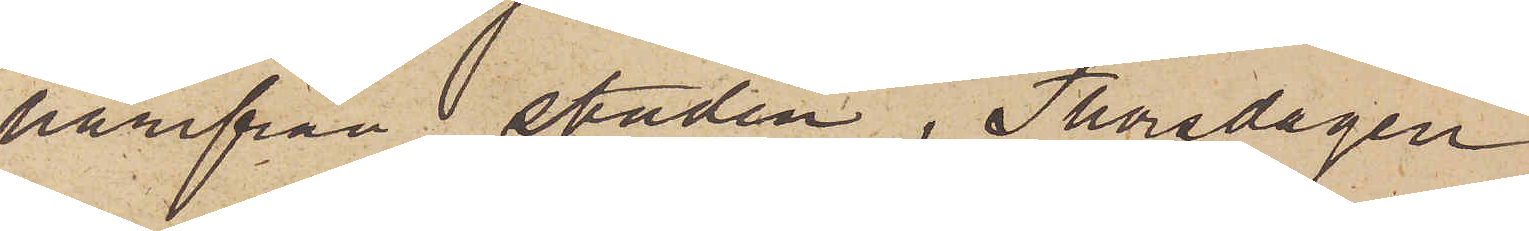härifrån staden, Thorsdagen
